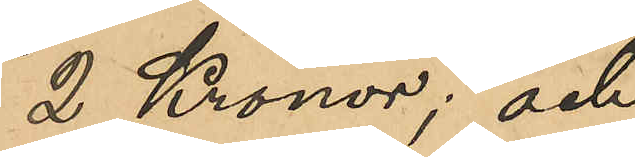2 Kronor; och
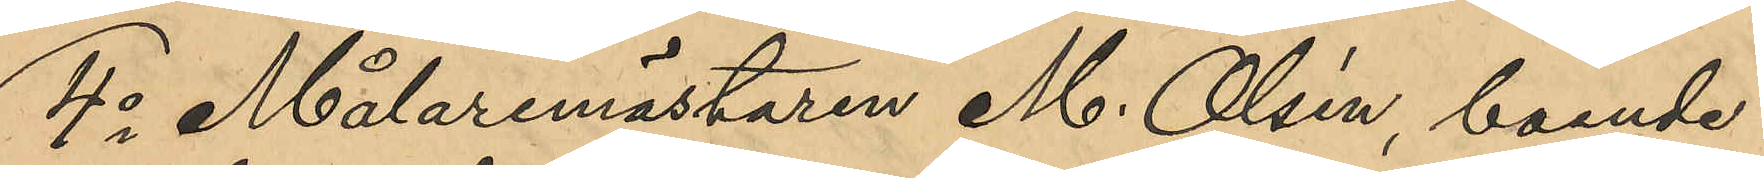4o Målaremästaren M. Olsén, boende i
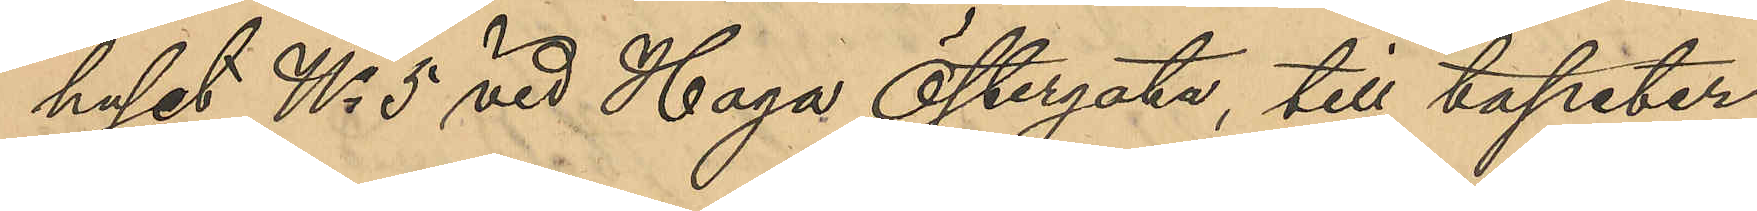huset No 5 vid Haga Östergata, till tapeter¬
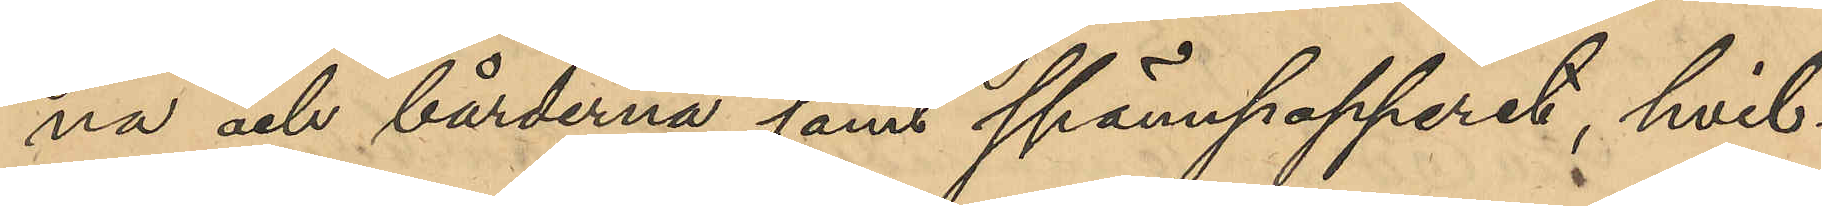na och bårderna samt spännpapperet, hvil¬
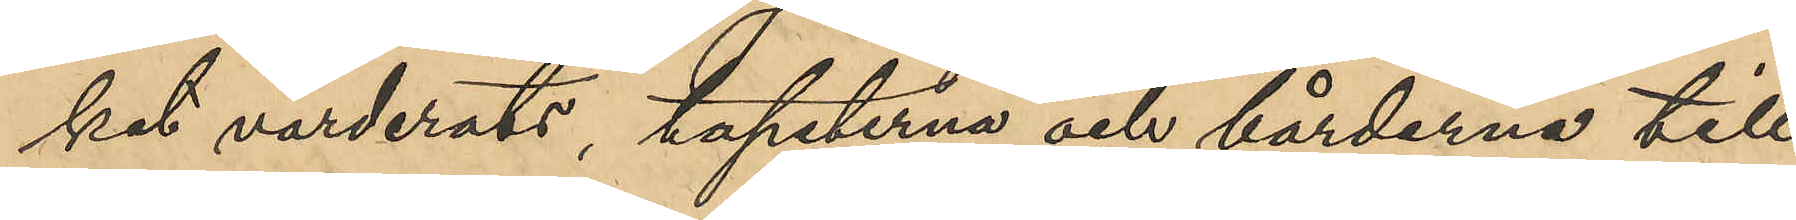ket värderats, tapeterna och bårderna till¬
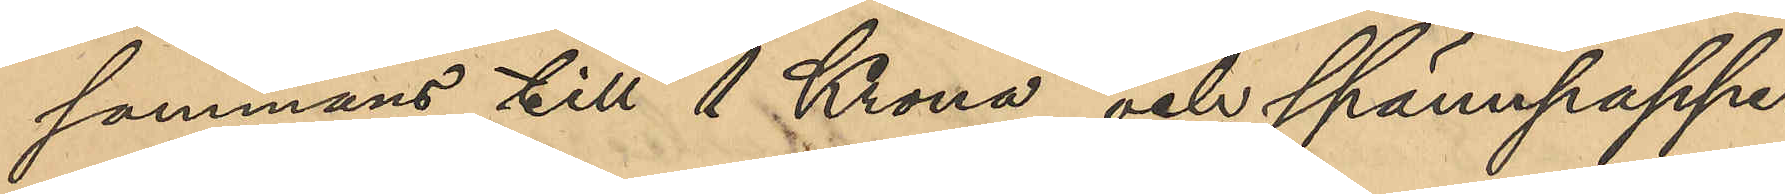sammans till 1 Krona och spännpappe¬
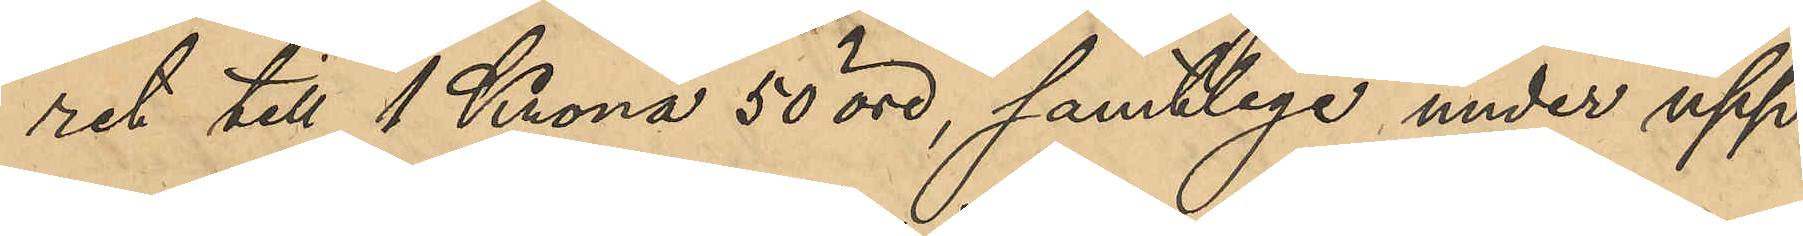ret till 1 Krona 50 öre, samtlige under upp¬
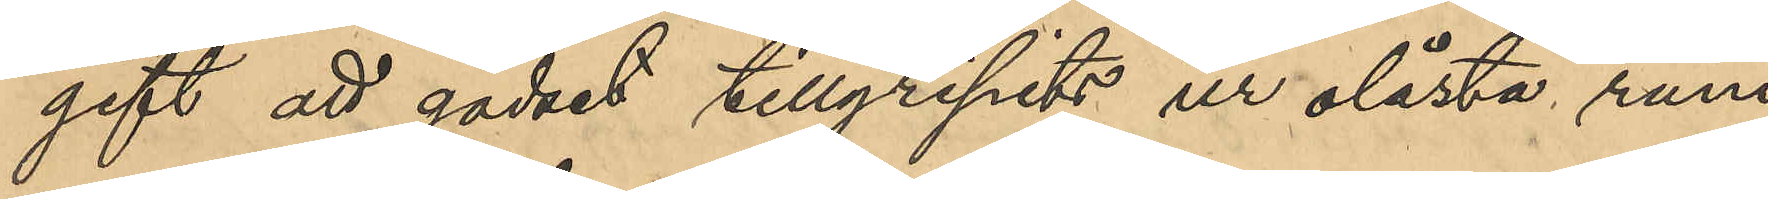gift att godset tillgripits ur olåsta rum
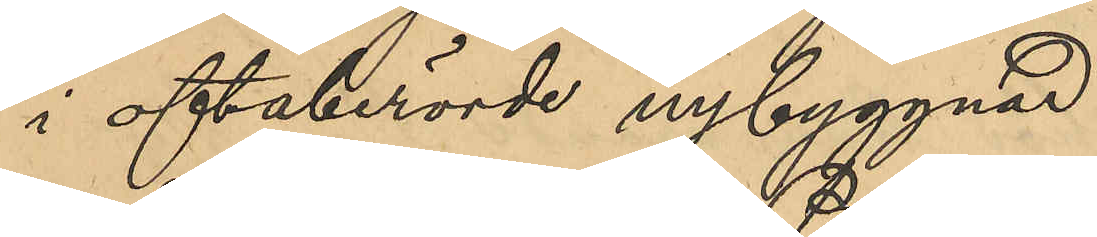i oftaberörde nybyggnad.
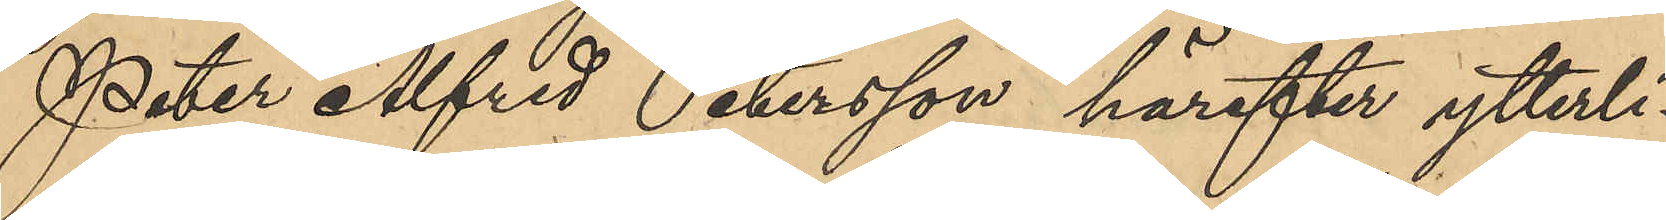Peter Alfred Petersson härefter ytterli¬
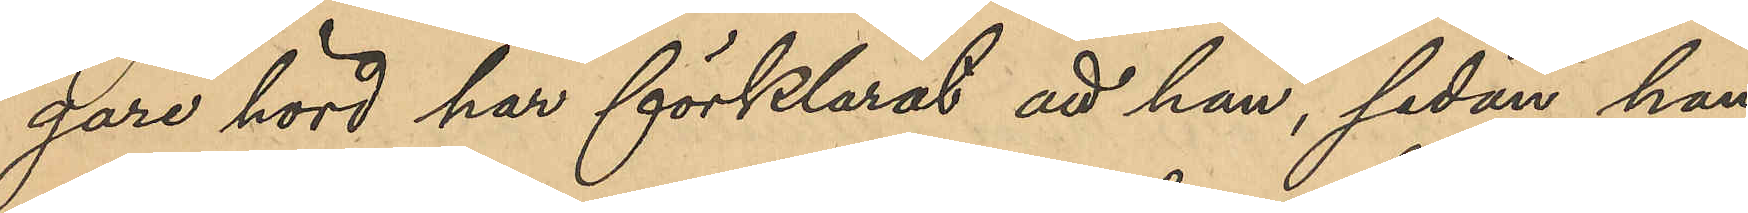gare hörd har förklarat att han, sedan han
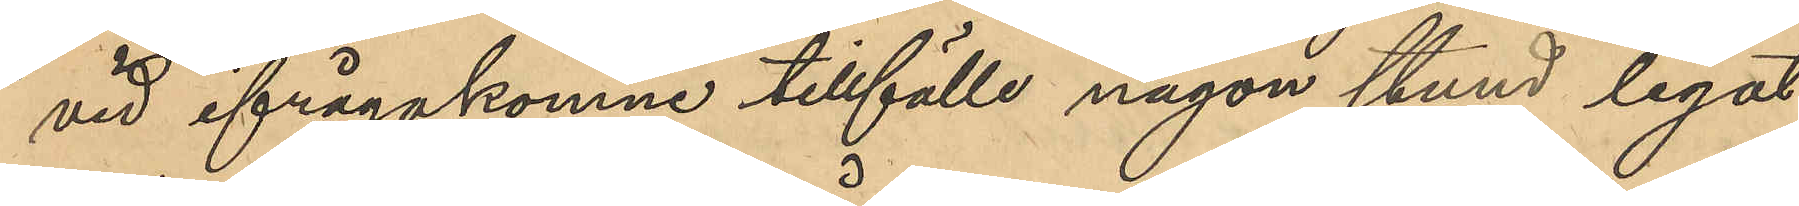vid ifrågakomne tillfälle någon stund legat
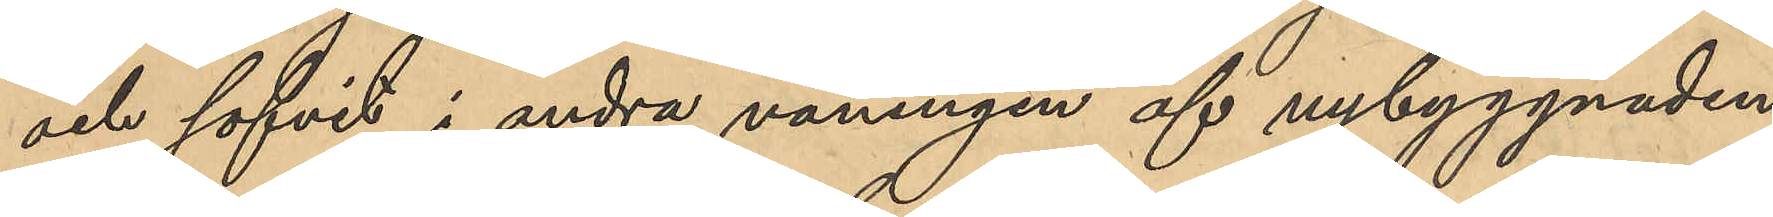och sofvit i andra våningen af nybyggnaden
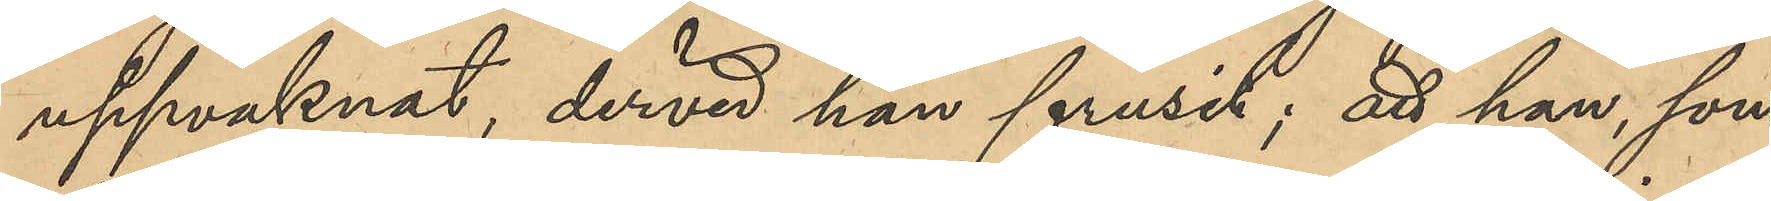uppvaknat, dervid han frusit; att han, som
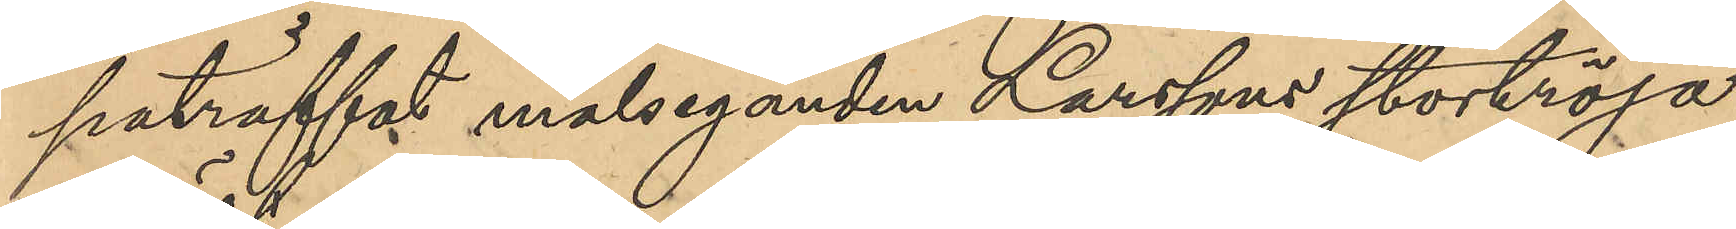paträffat målseganden Larssons stortröja,
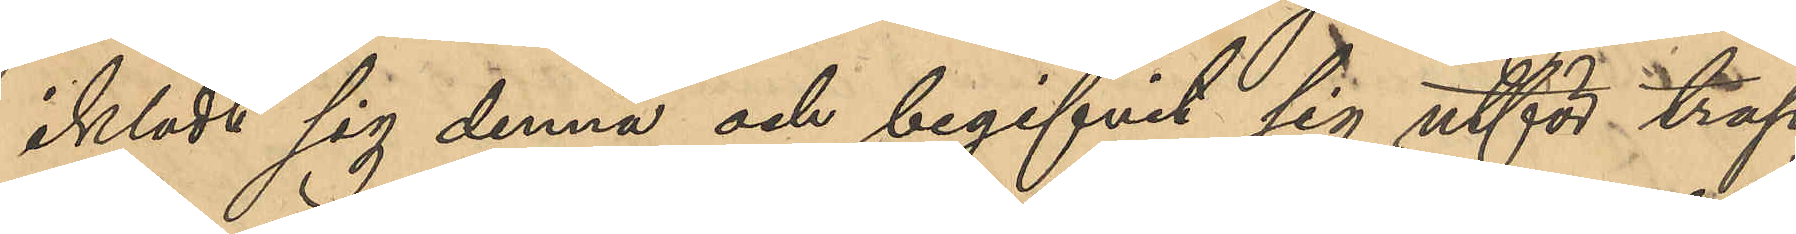iklädt sig denna och begifvit sig utför trap¬
